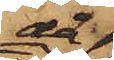då
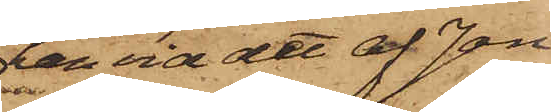han vid det af Jon
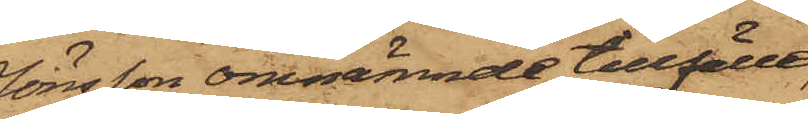Jönsson omnämnde tillfälle,
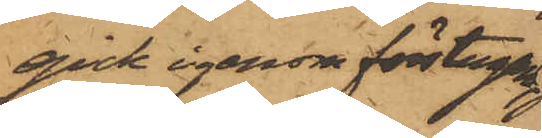gick igenom förstugan
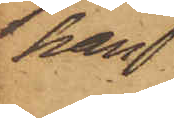han
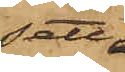sett
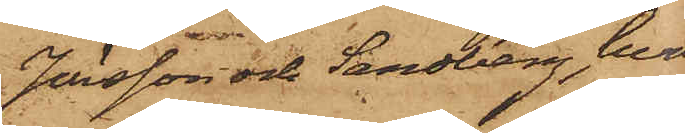Jönsson och Sandberg, hvil¬
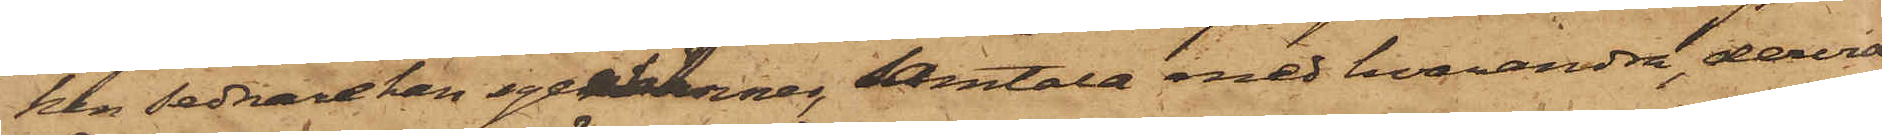ken sednare han igenkänner, samtala med hvarandra, dervid
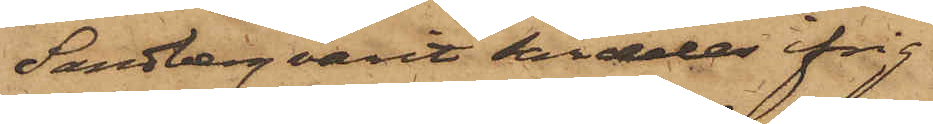Sandberg varit särdeles ifrig.
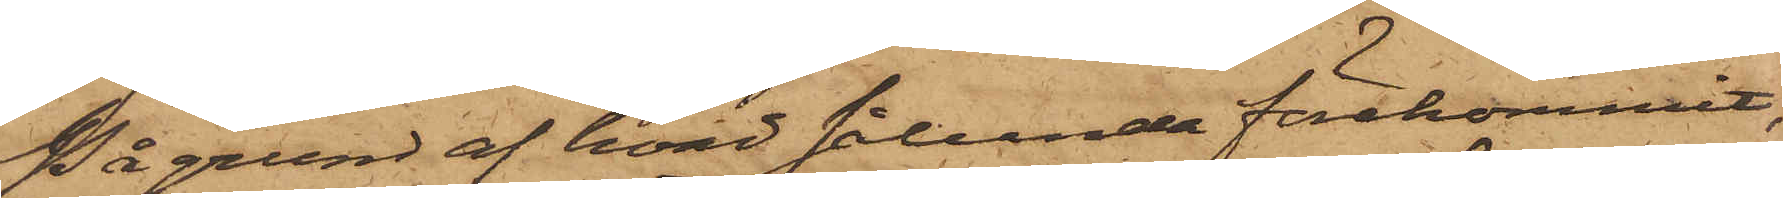På grund af hvad sålunda förekommit,
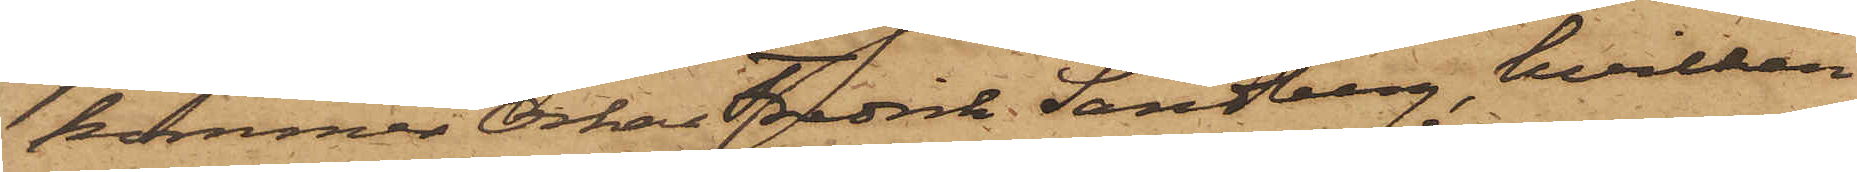kommer Oskar Fredrik Sandberg, hvilken
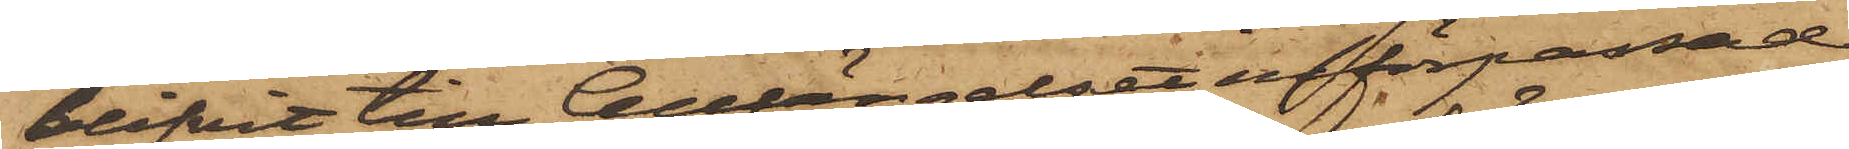blifvit till Cellfängelset införpassad,
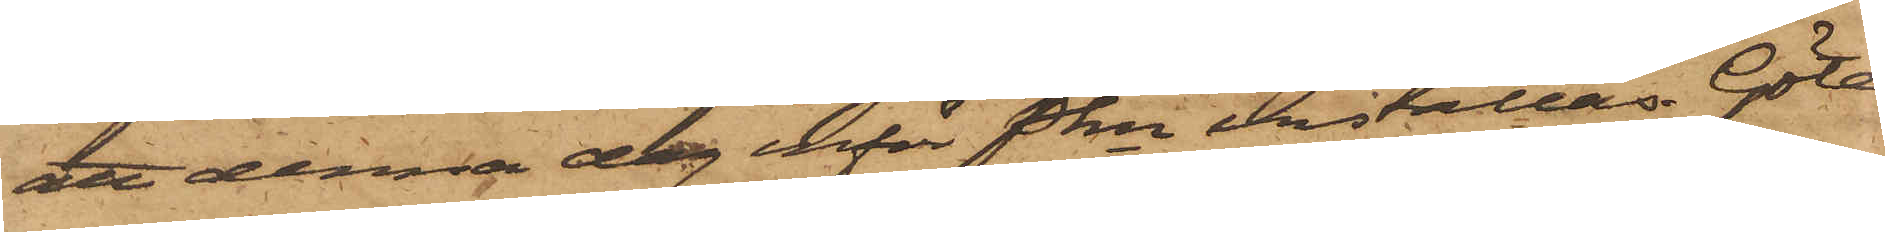att denna dag inför Pkn inställas. Göte¬
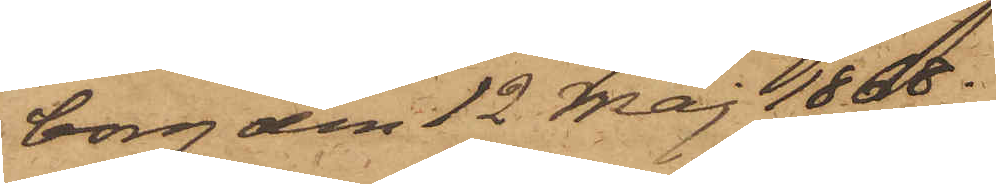borg den 12 Maj 1868.
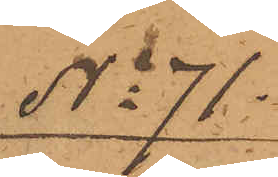No 71.
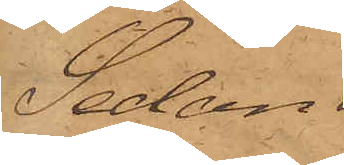Sedan
